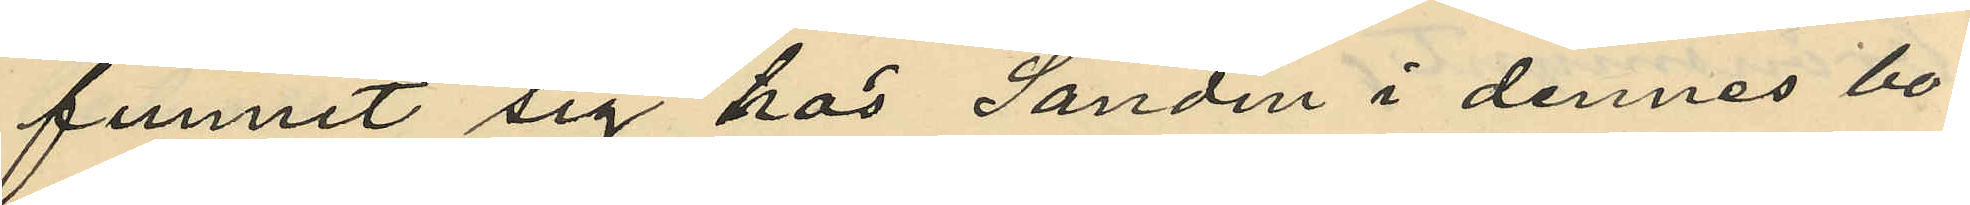funnit sig hos Sandin i dennes bo¬
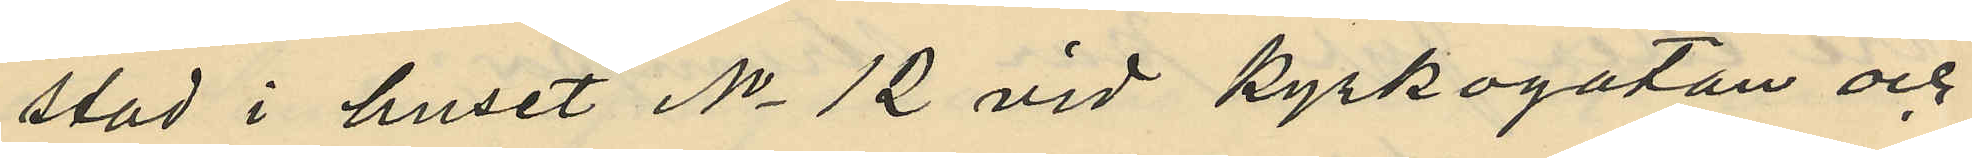stad i huset No 12 vid Kyrkogatan och
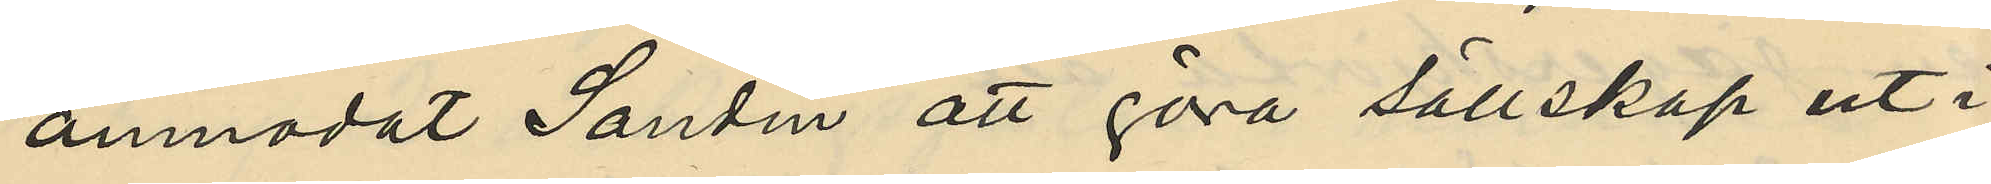anmodat Sandin att göra sällskap ut i
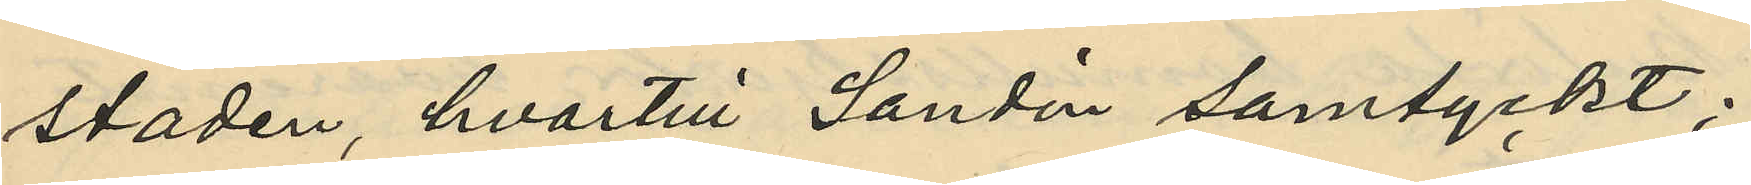staden, hvartill Sandin samtyckt;
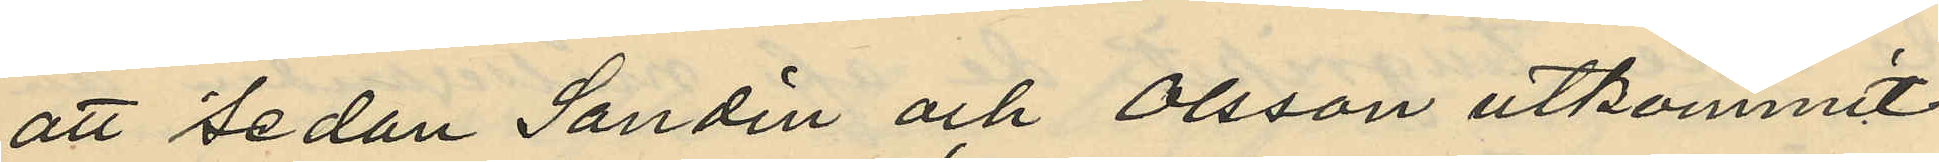att Sedan Sandin och Olsson utkommit
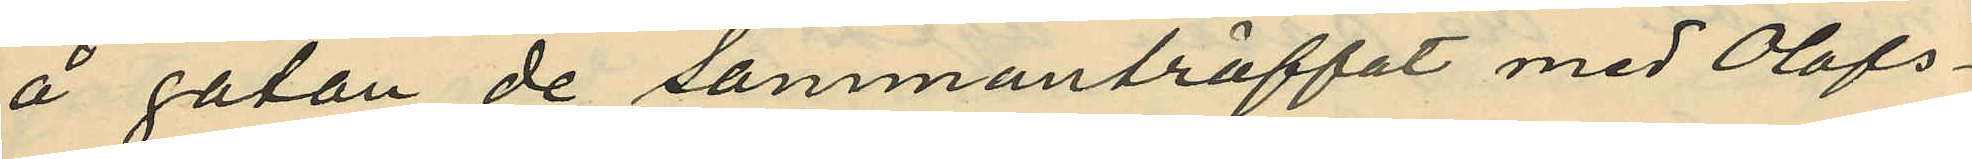å gatan de sammanträffat med Olofs¬
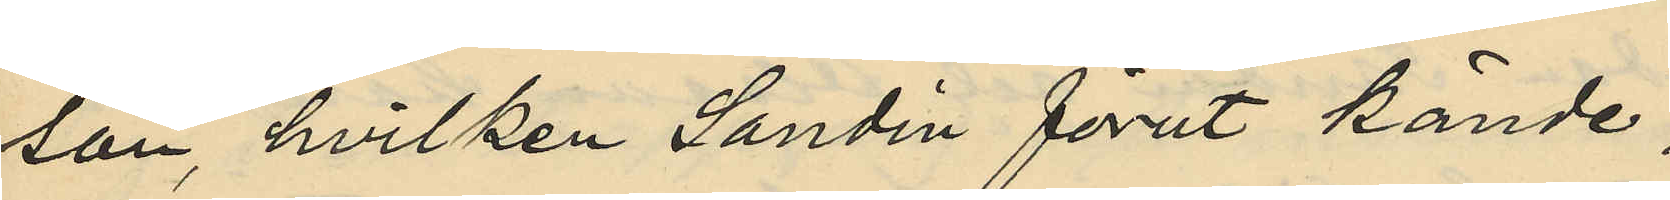son, hvilken Sandin förut kände;
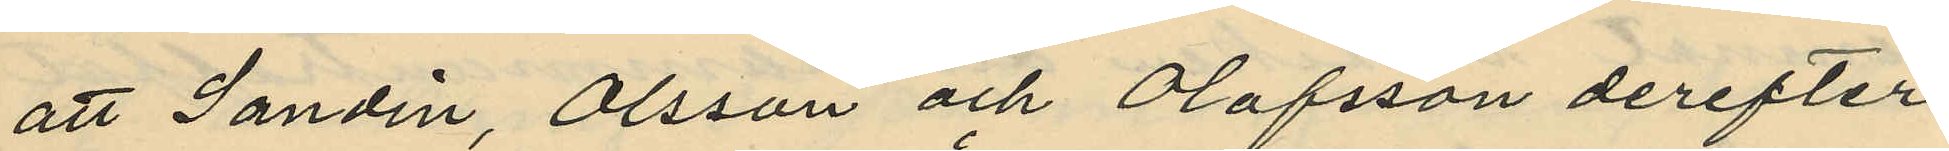att Sandin, Olsson och Olofsson derefter
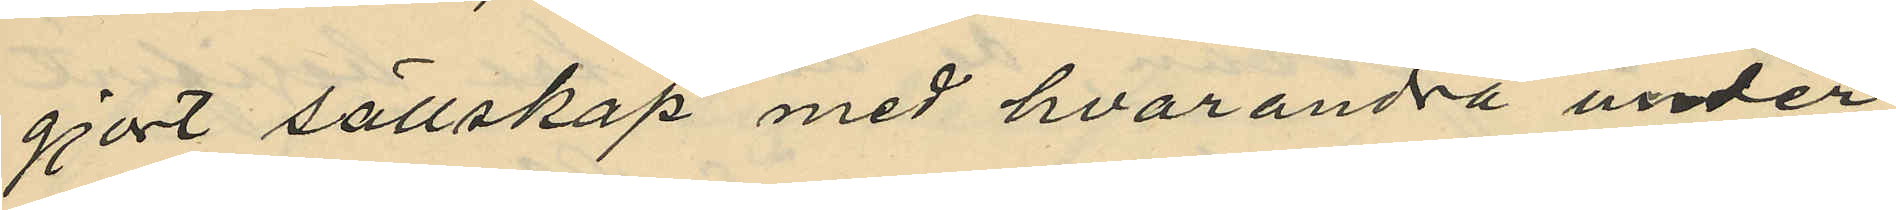gjort sällskap med hvarandra under
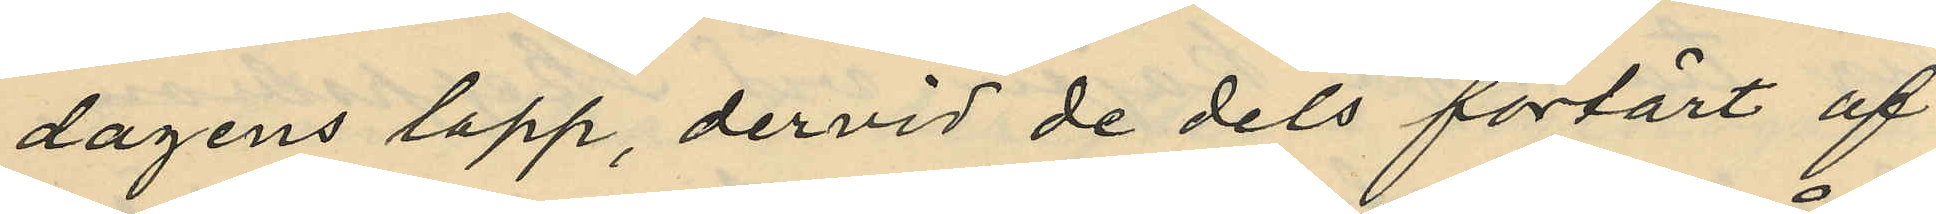dagens lopp, dervid de dels förtärt af
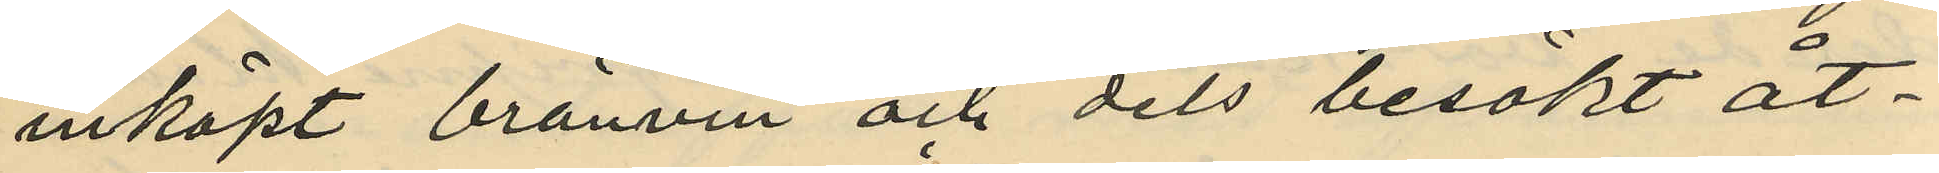inköpt bränvin och dels besökt åt¬
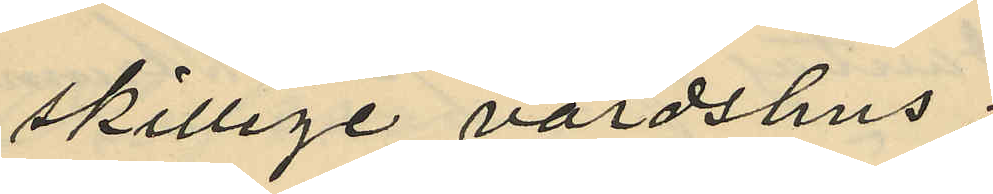skillige värdshus.
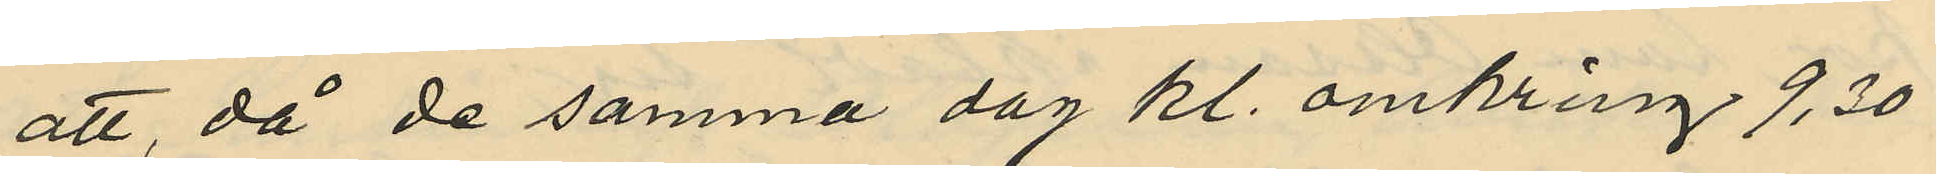att, då de samma dag kl. omkring 9,30
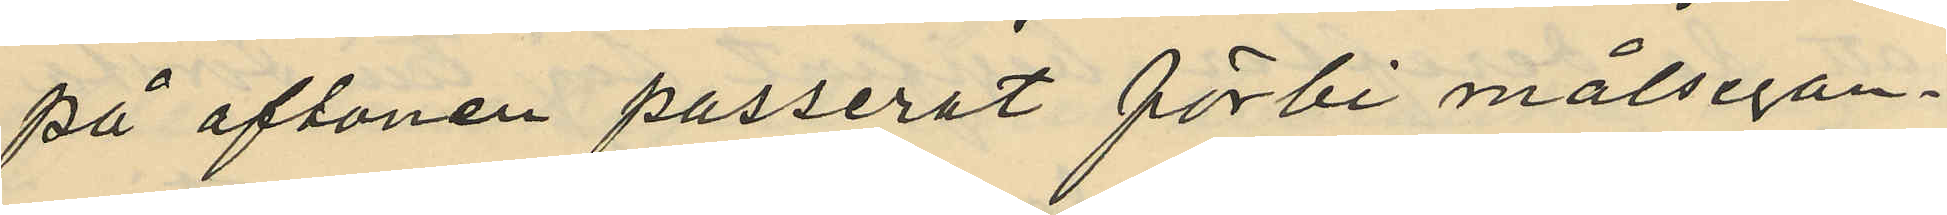på aftonen passerat förbi målsegan¬
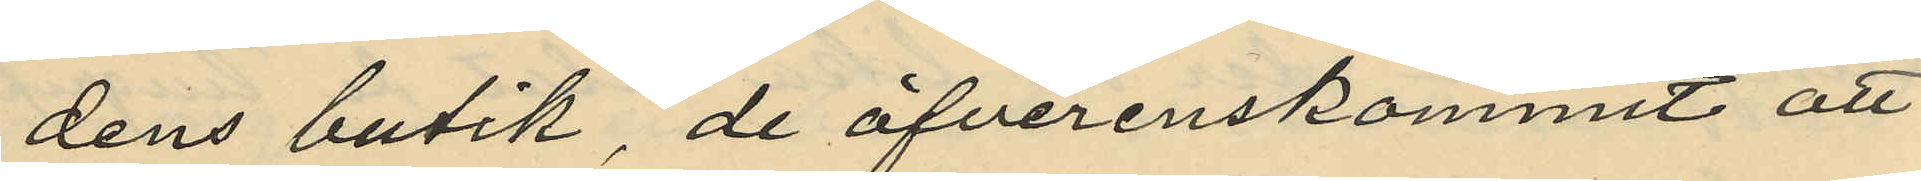dens butik, de öfverenskommit att
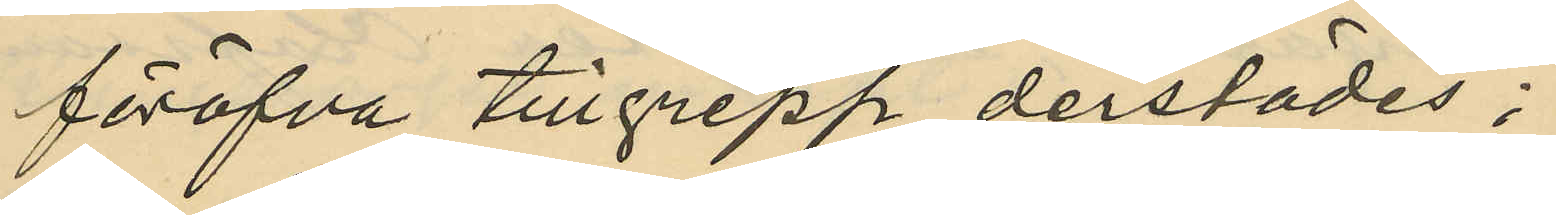föröfva tillgrepp derstädes;
